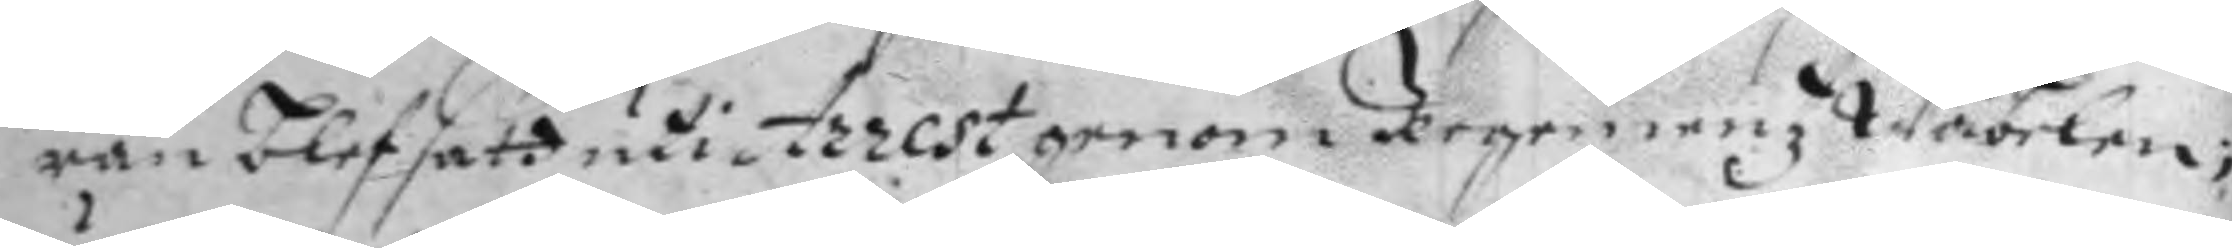ran blef satt uti Arrest genom Regementz Wäbelen;
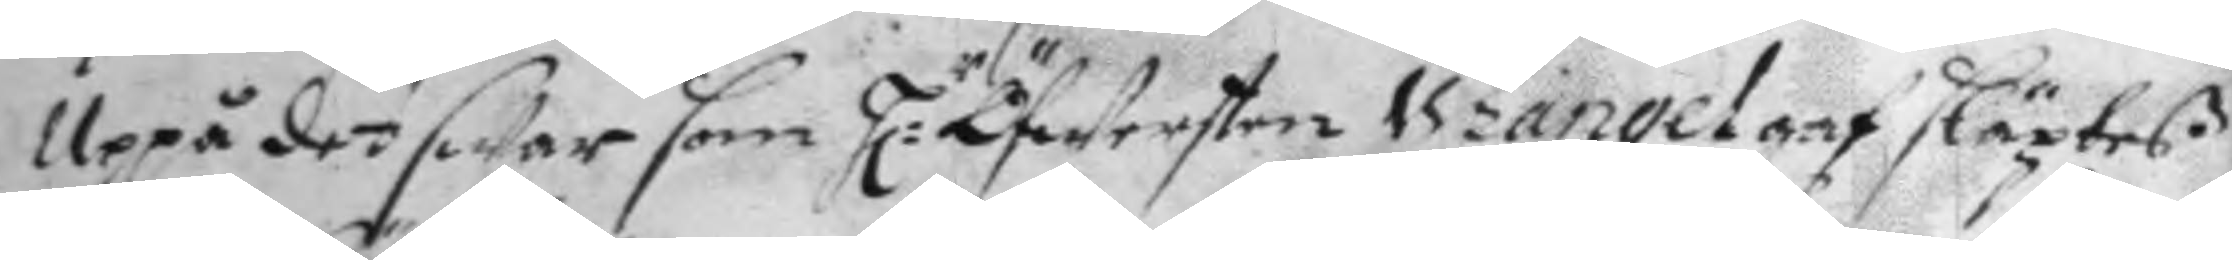Uppå det swar som H:r Öfwersten Wranel gaf släptes
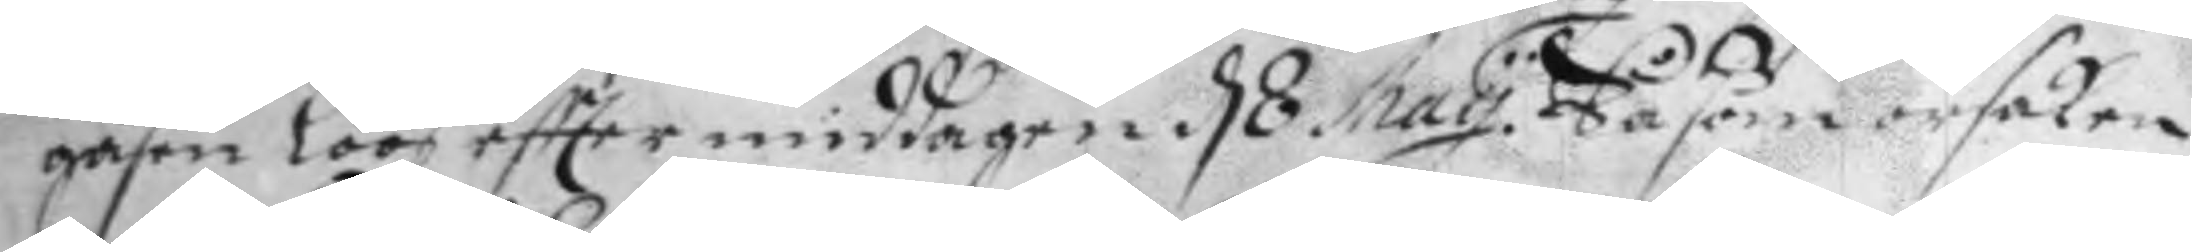gåßen lööß eftter middagen d 8 May. Så såVom orsaken
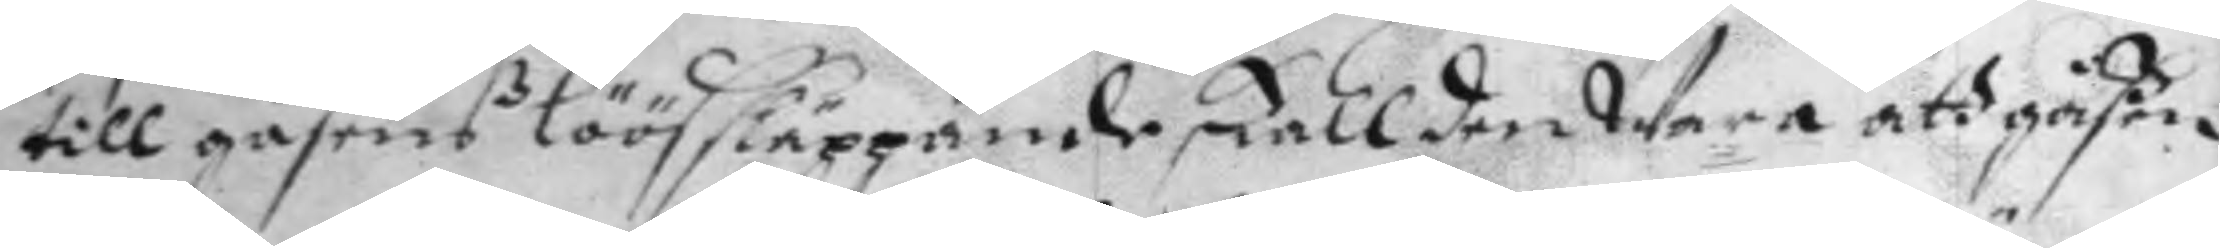till gåßenß löössläppande skall den Wara att gåßen
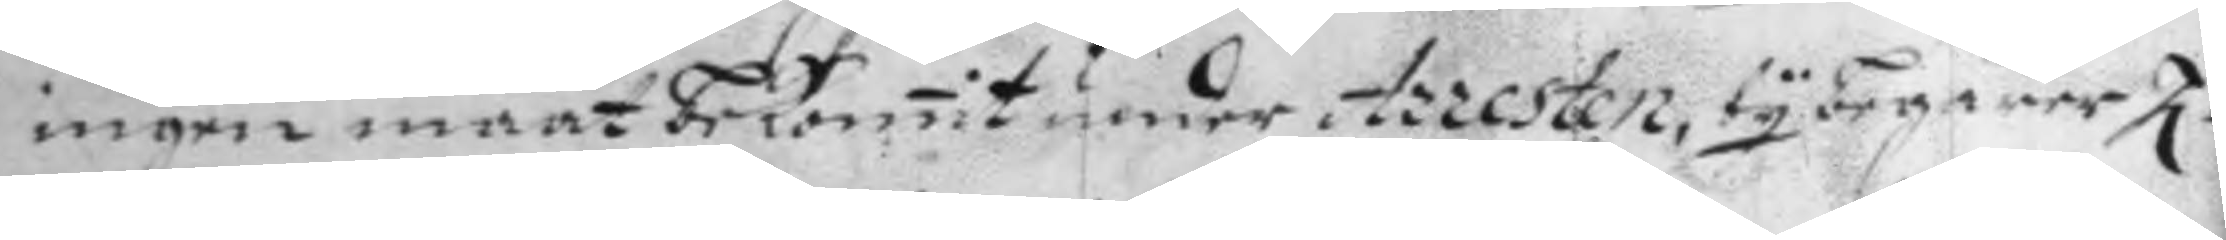ingen maat bekommit under Arresten, ty begärer H:
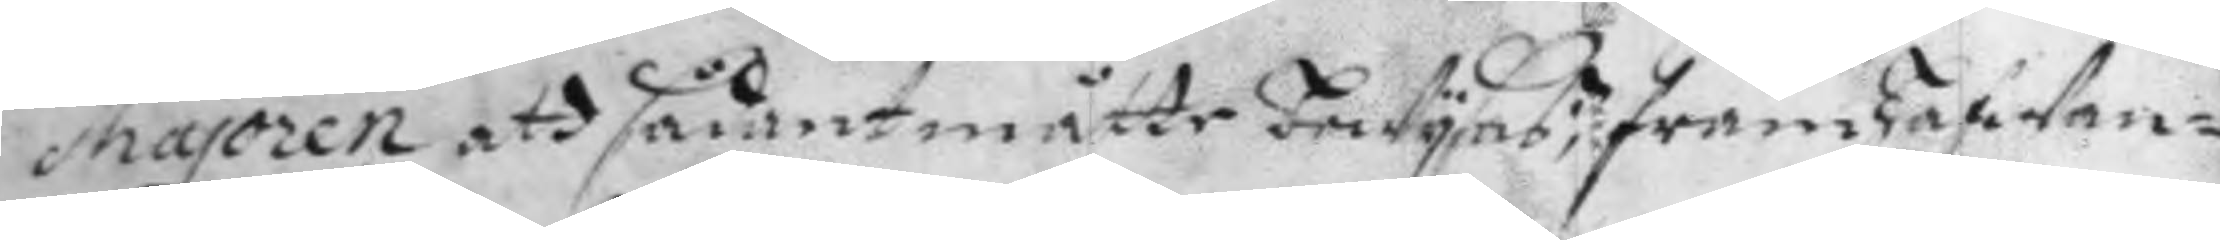Majoren att sådant måtte bewysas; fram hafwan¬
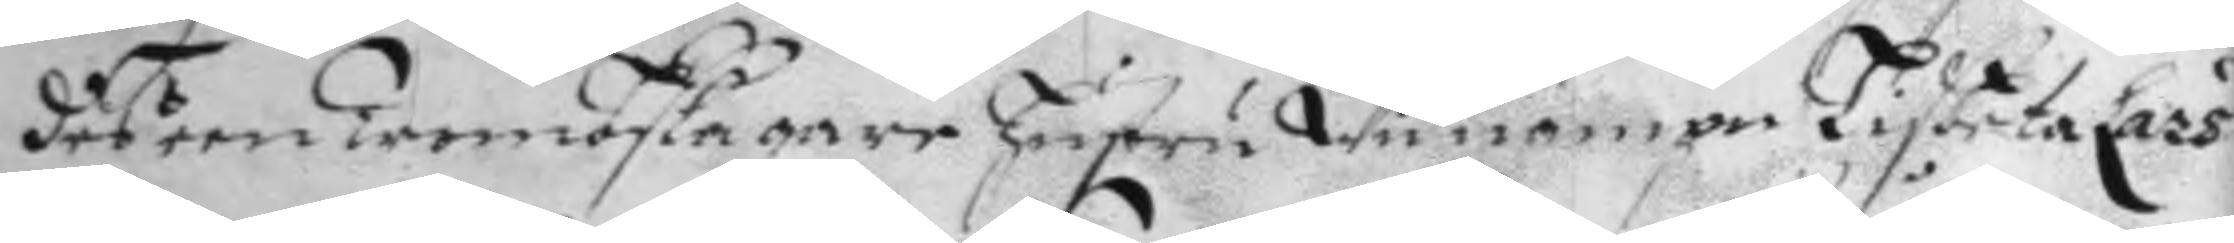des een tromoslagare hustru Wid nampn Lysbeta Lars¬
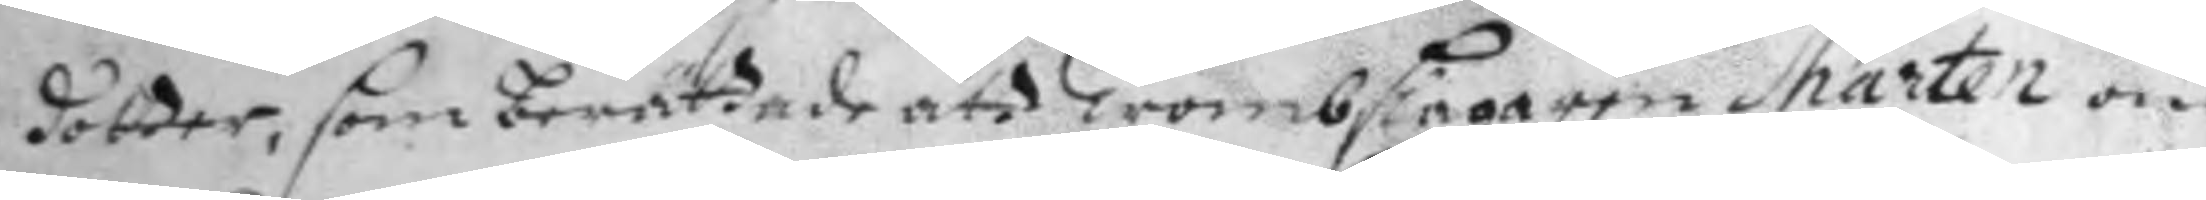dotter, som berättade att Trombslagaren Mårten om
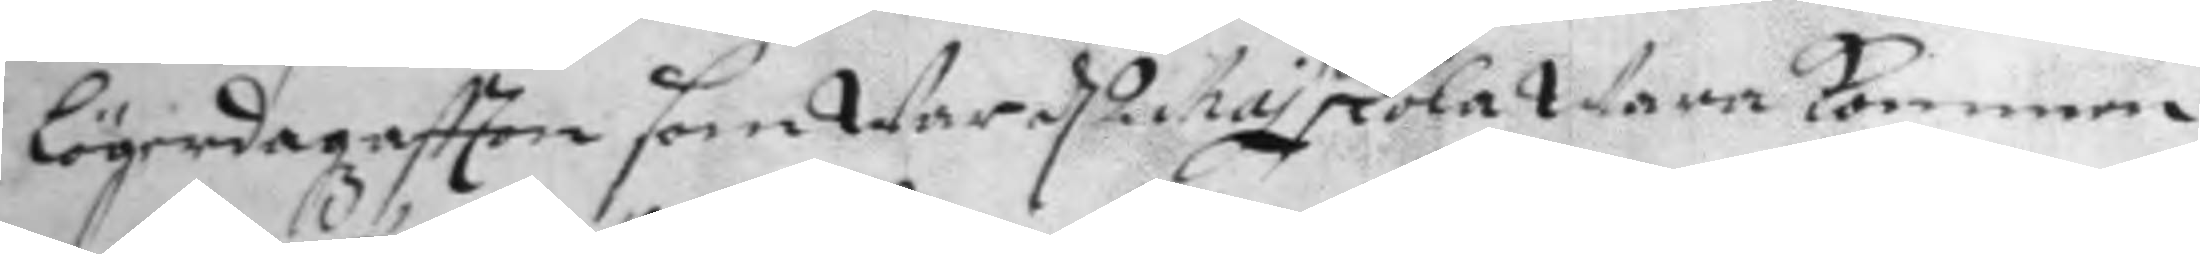lögerdagzaftton som War d 2 Maj skola Wara kommen
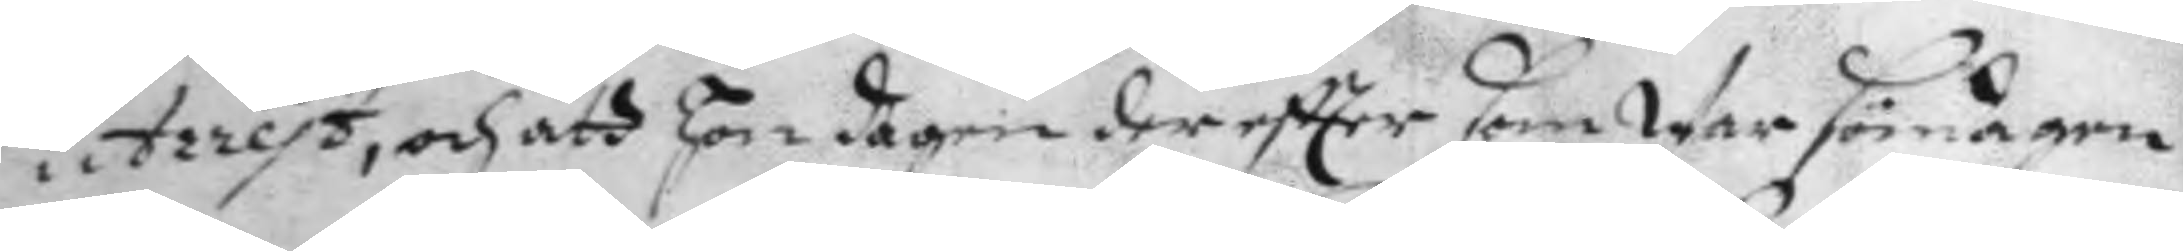i Arrets, och att hon dagen dereftter somWar söndagen
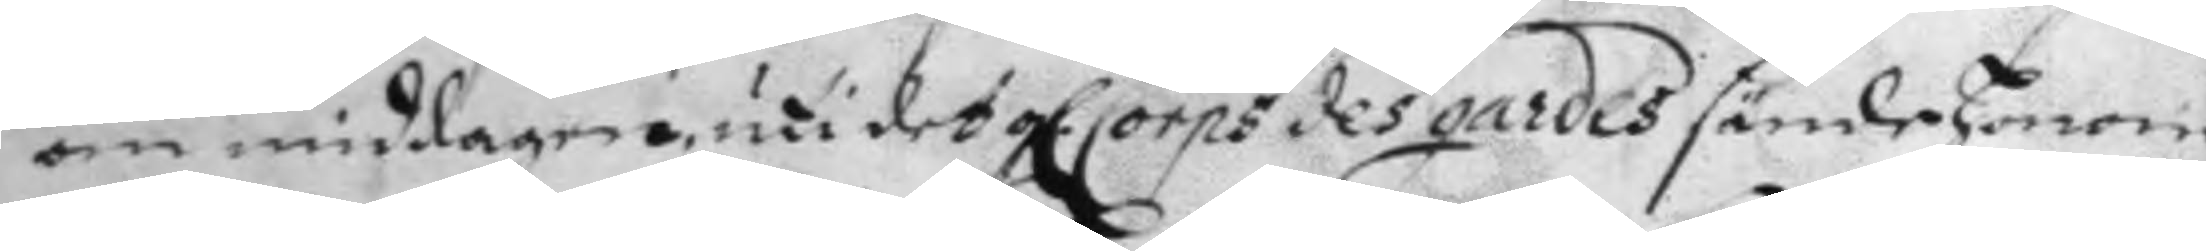om middagen, uti det gl. Corps des gardes sände honom
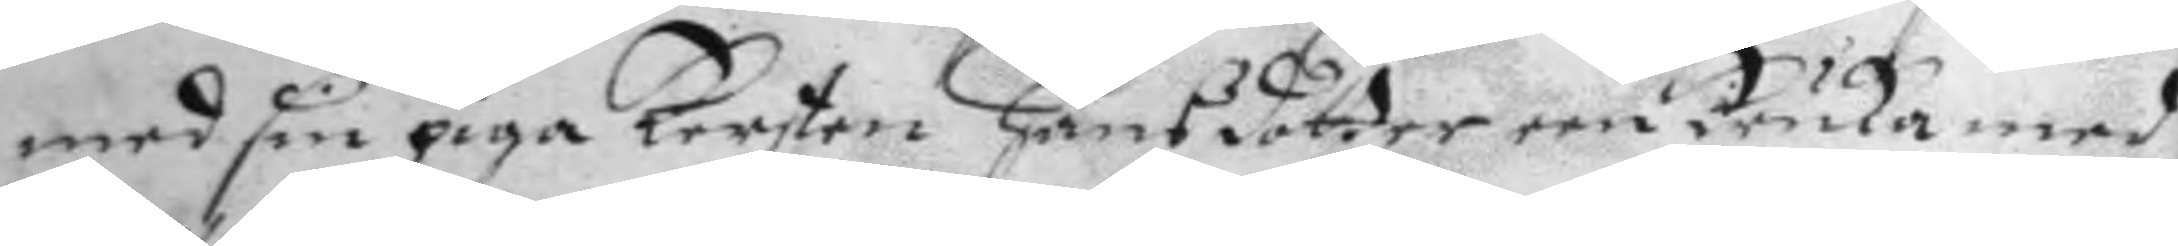med sin piga Kersten hansdotter een kruka med
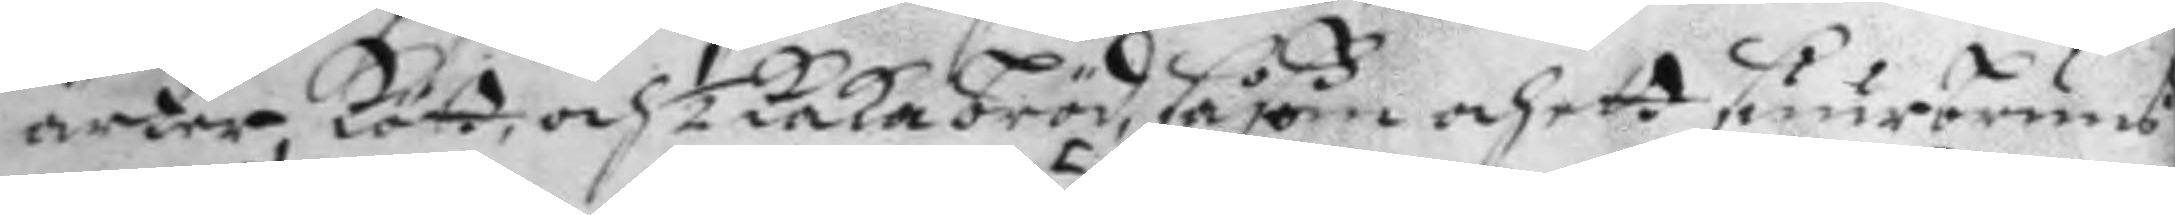ärter, kött och ½ kaka bröd, såßom och ett suurbruns
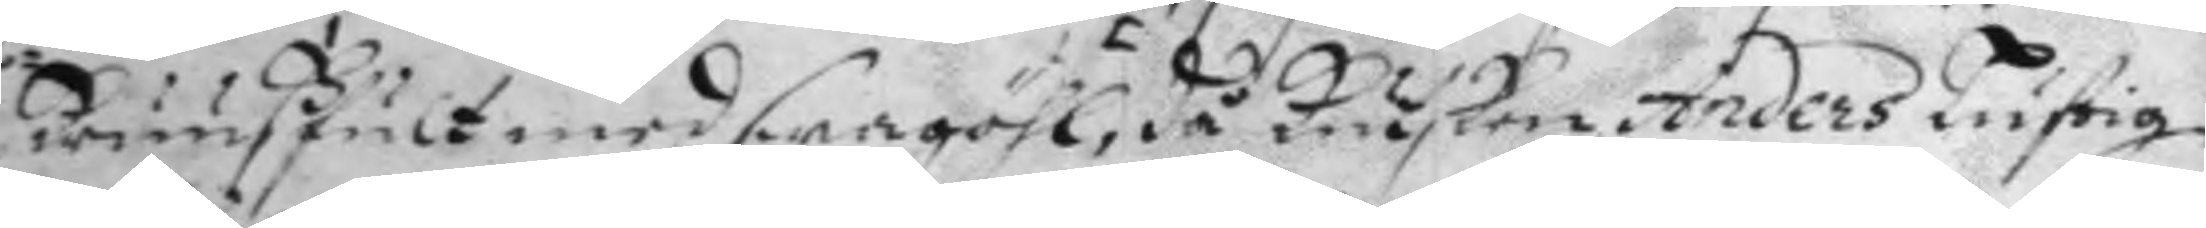kruuV fult med swagöhl,  då kusken Anders Lustig
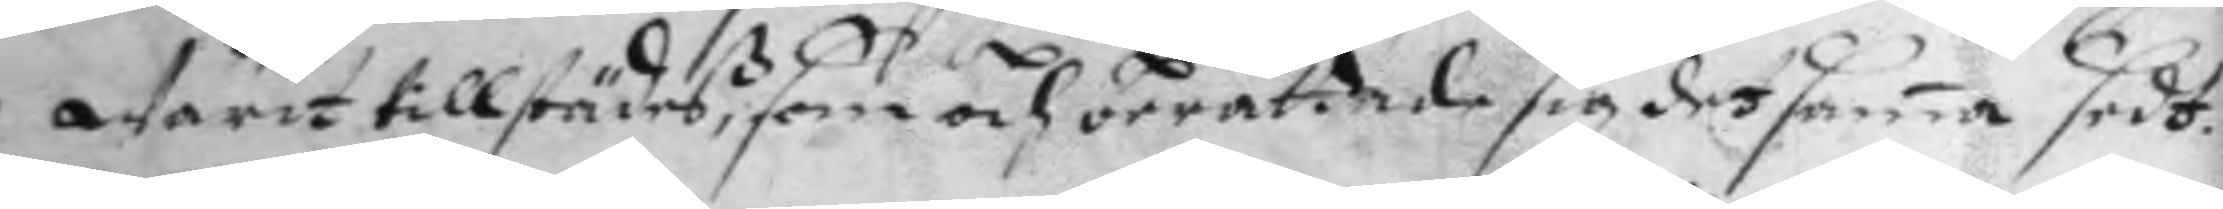Warit tillstädeß, som och berättade sig det sama sedt.
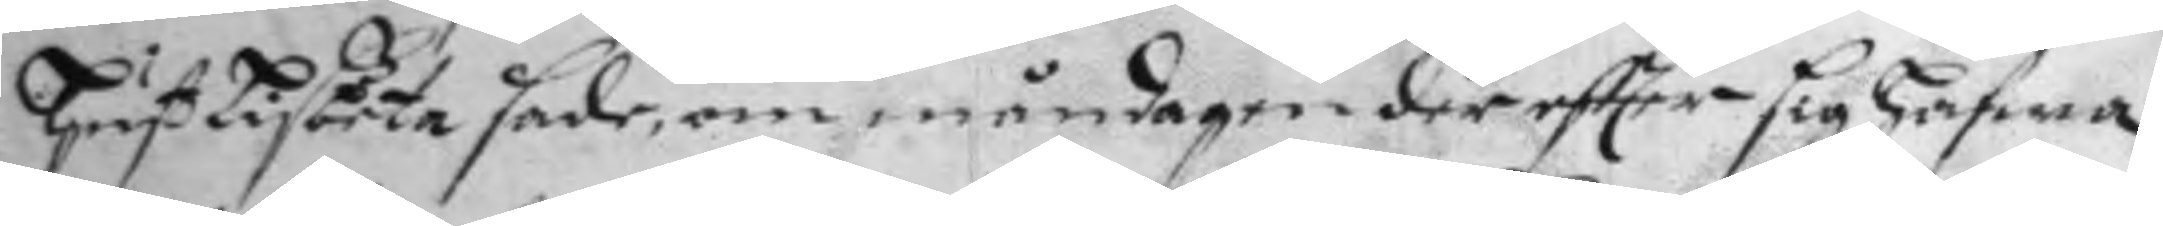hust Lisbeta sade, om måndagen der eftter sig hafwa
